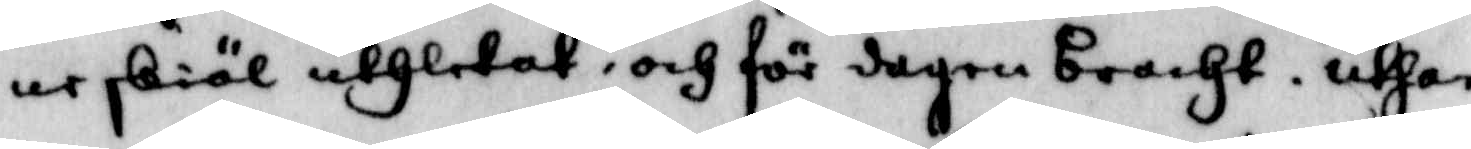ne skiäl uthletat, och för dagen bracht, uthan
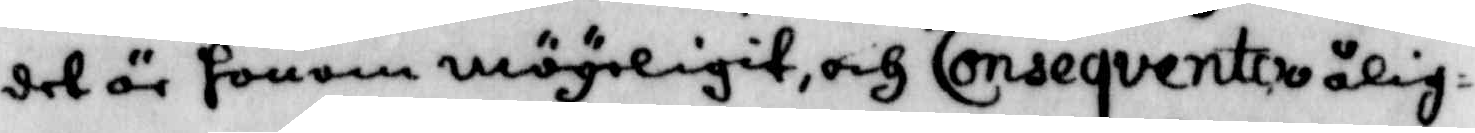det är honom mögeligit, och Conseqventoo ålig¬
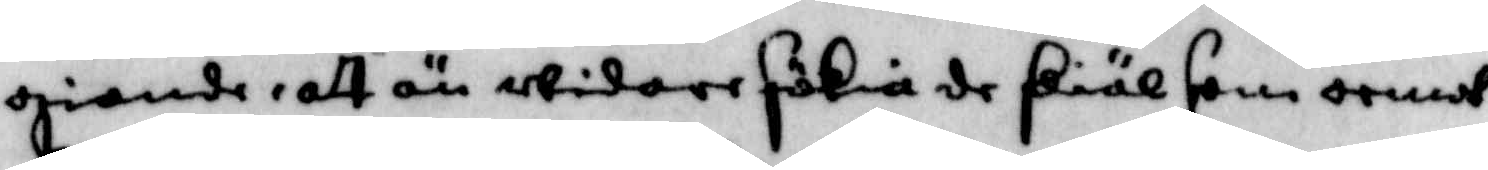giande, att än widare sökia de skiäl som oemot¬
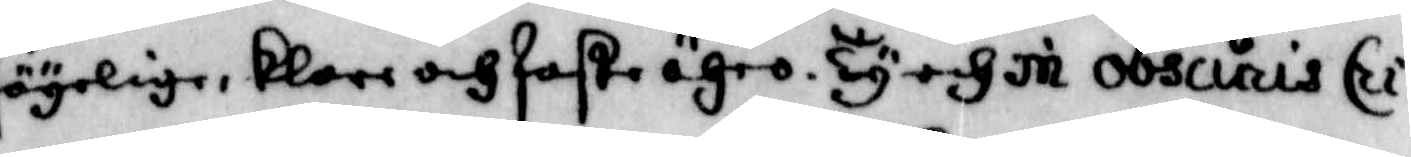sägelige, klare och faste ähro. Ty och in obscuris Cri¬
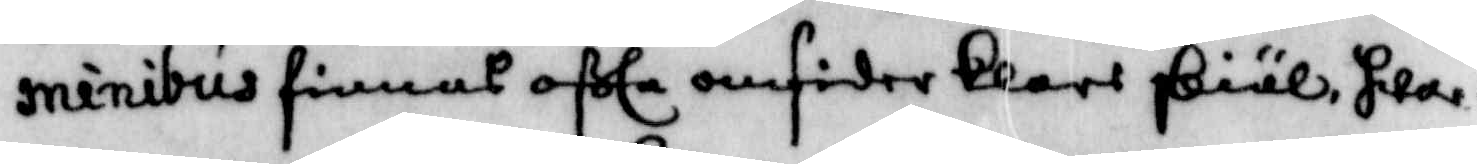minibus finnas ofta omsider klare skiäl, hwar¬
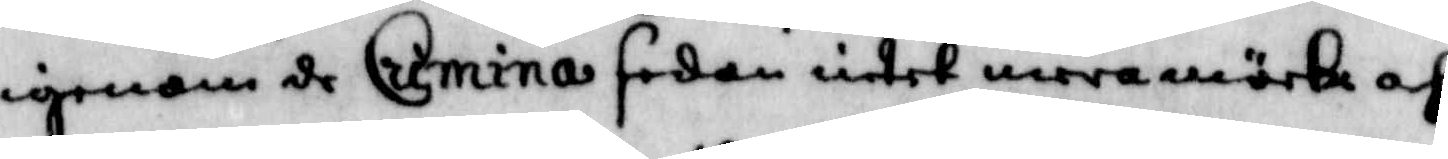igenom de Crimina sedan intet wara mörka af
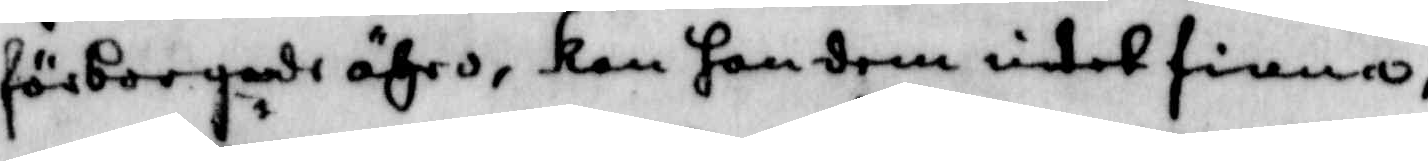förborgande ähro, kan han dem intet finna,
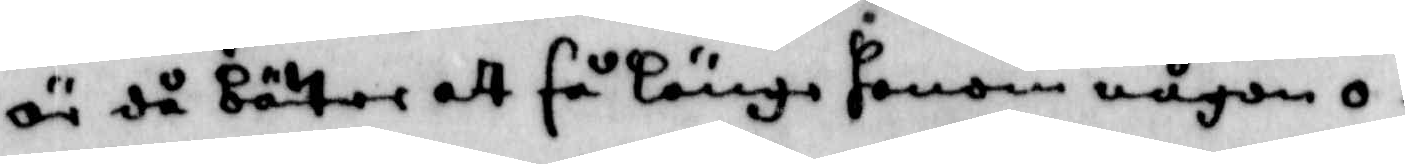är då bättre att så länge honom någon o¬
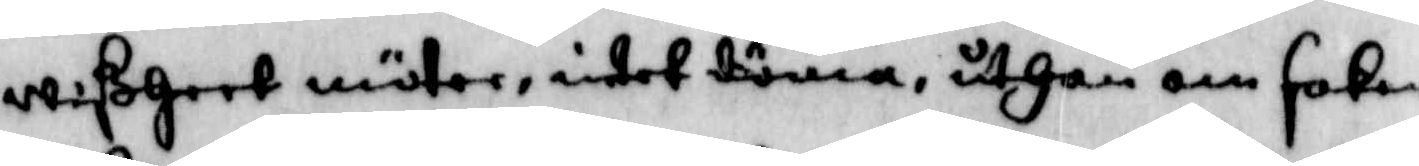wißheet möter, intet döma, uthan om saken
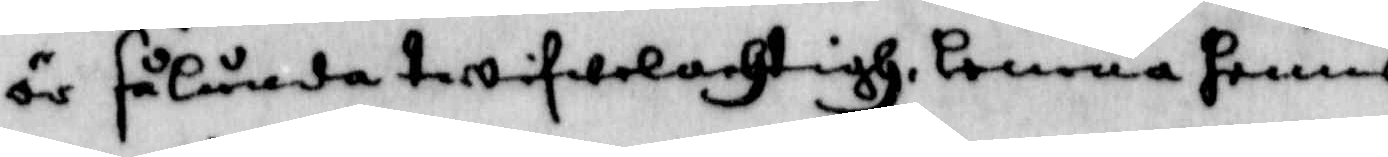är sålunda twifwelachtig, lemna henne
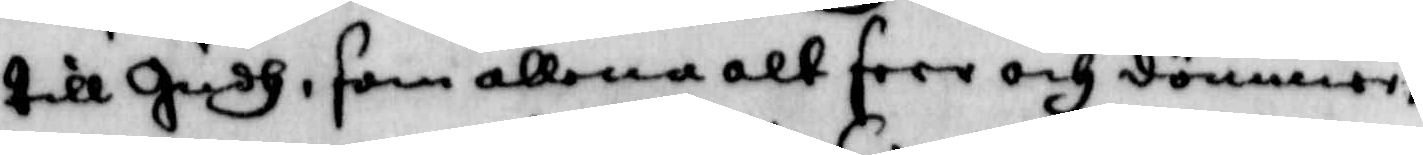till Gudh, som allena alt seer och dömmer,
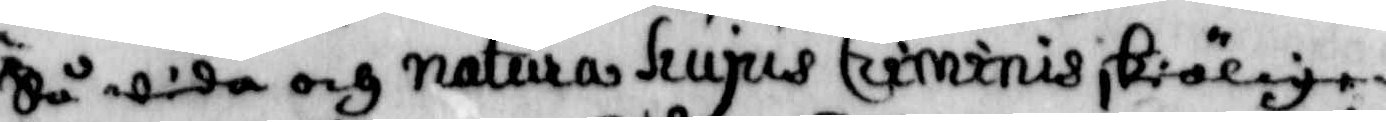Så wida och natura hujus Criminis skiäligen
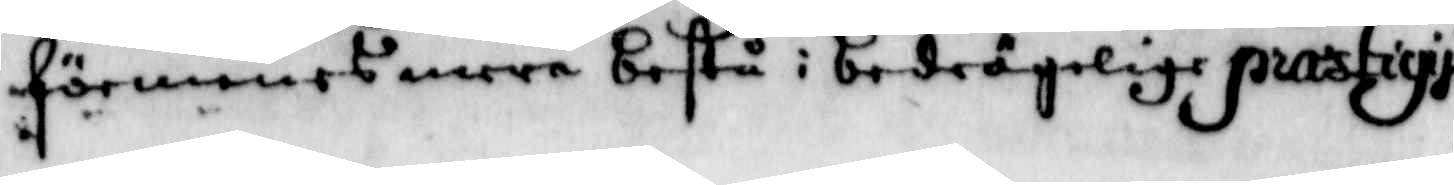förmenes mere bestå i bedrägelige prastiqije
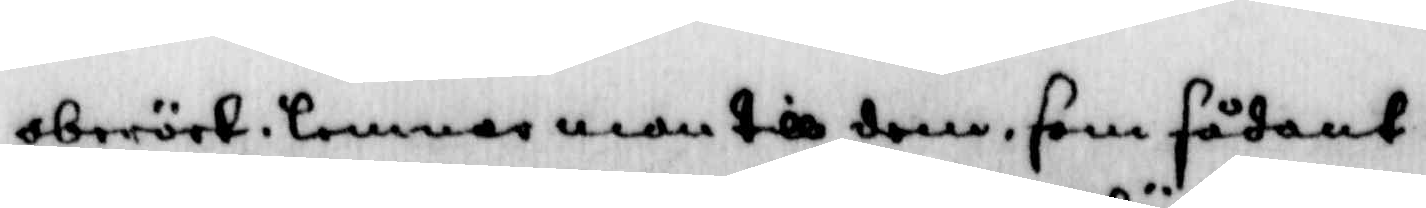oberört lemnar man till dem, som sådant
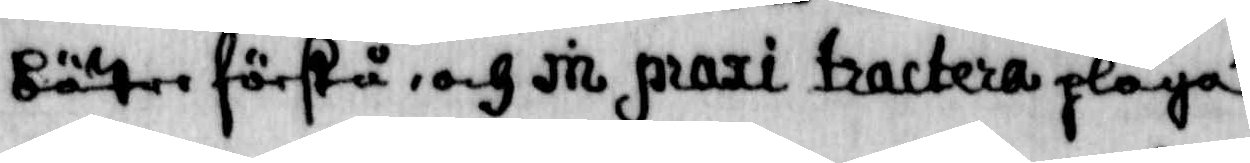bätre förstår, och in praxi tractera pläga.
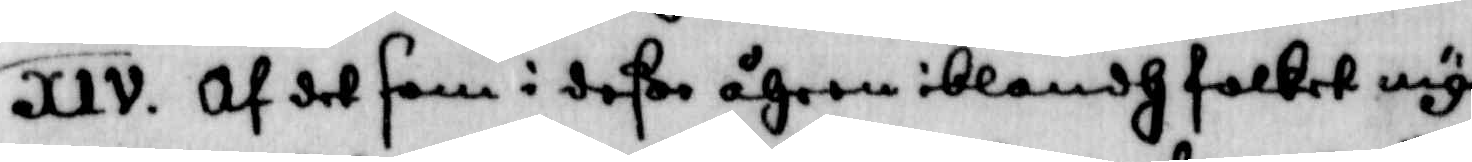XIV. Af det som i deße åhren iblandh folket my¬
